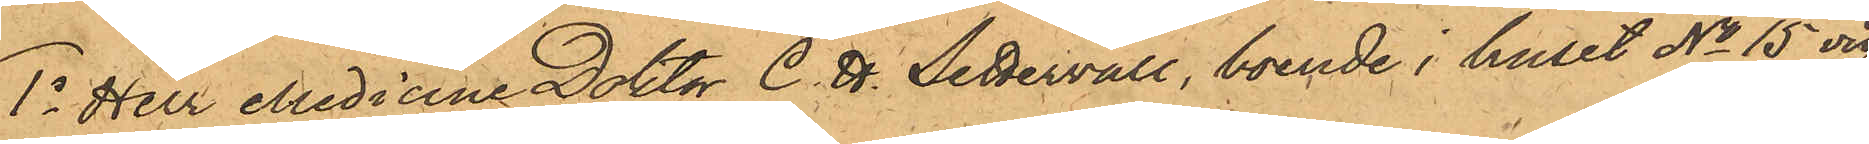1o Herr Medicine Doktor C. H. Settervall, boende i huset No 15 vid
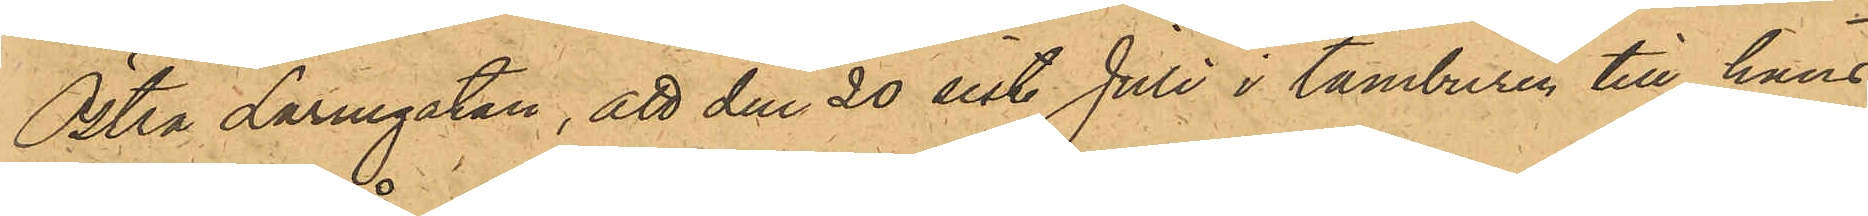Östra Larmgatan, att den 20 sist. Juli i tamburen till hans
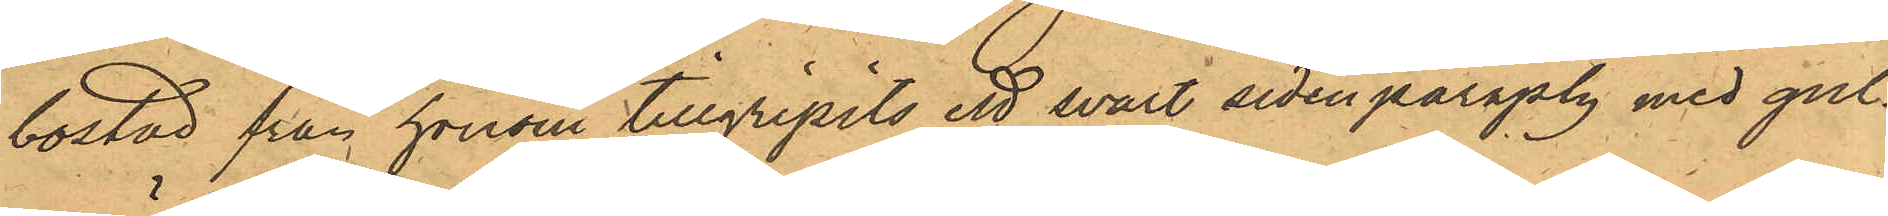bostad från honom tillgripits ett svart sidenparaply med gul¬
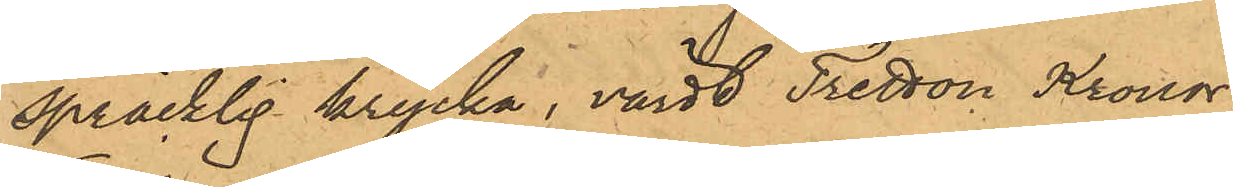spräcklig krycka, värdt Tretton Kronor;
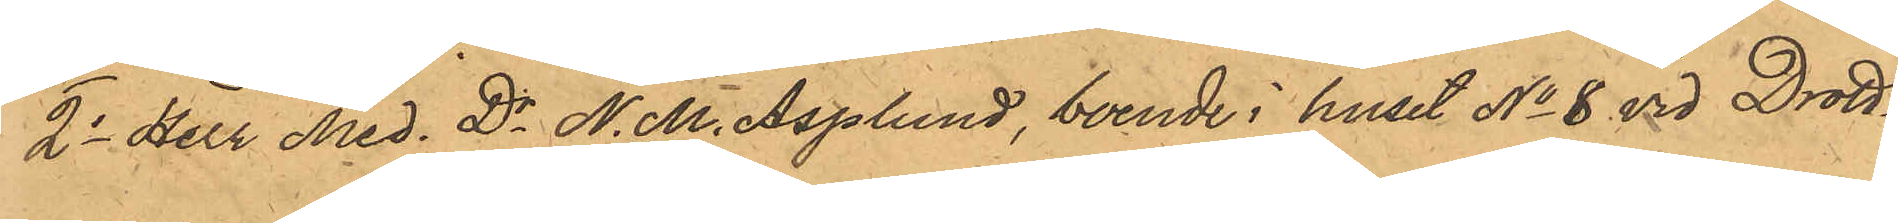2o Herr Med. Dr N. M. Asplund, boende i huset No 8 vid Drott¬
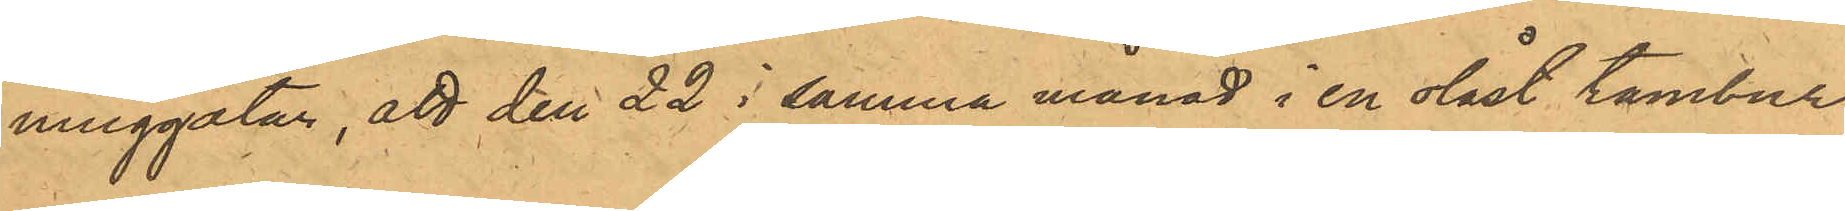ninggatan, att den 22 i samma månad i en olåst tambur
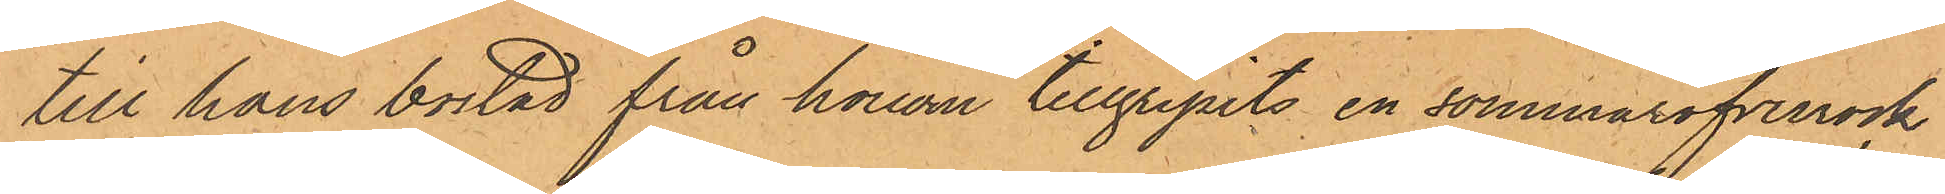till hans bostad från honom tillgripits en sommaröfverrock
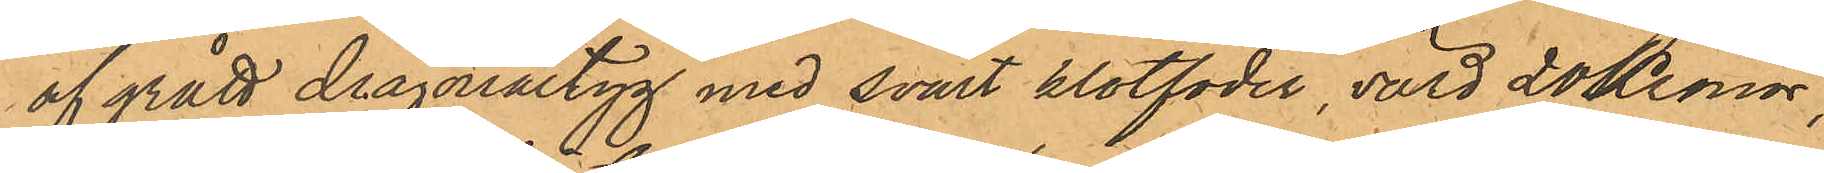af grått diagonaltyg med svart klotfoder, värd 20 Kronor;
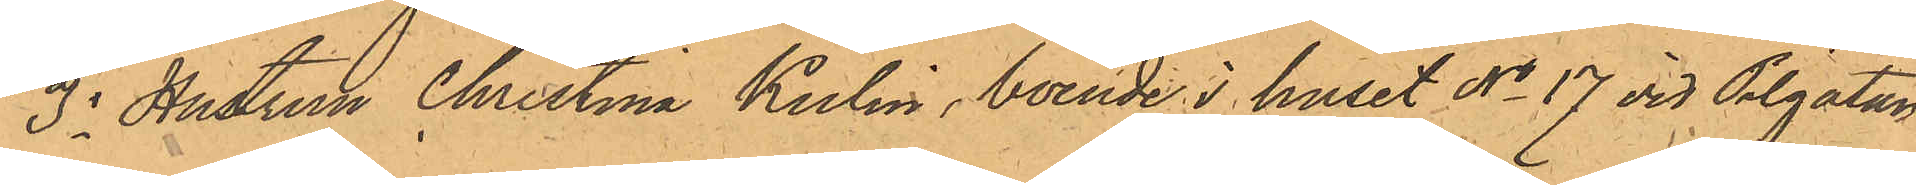3o Hustrun Christina Kulin, boende i huset No 17 vid Pilgatan,
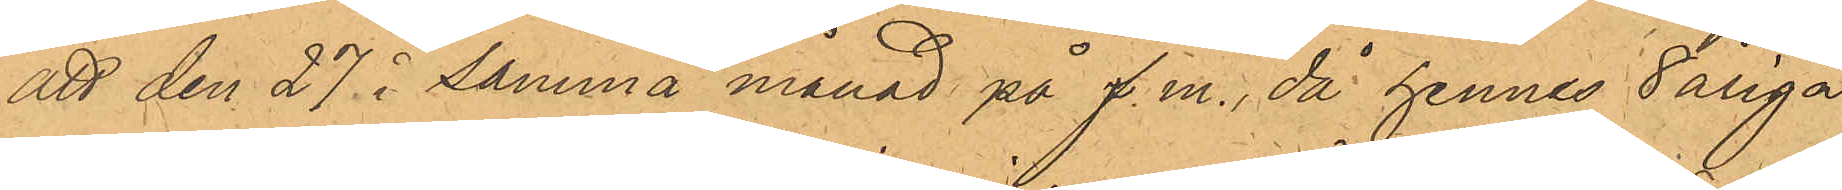att den 27 i samma månad på f.m., då hennes 8 åriga
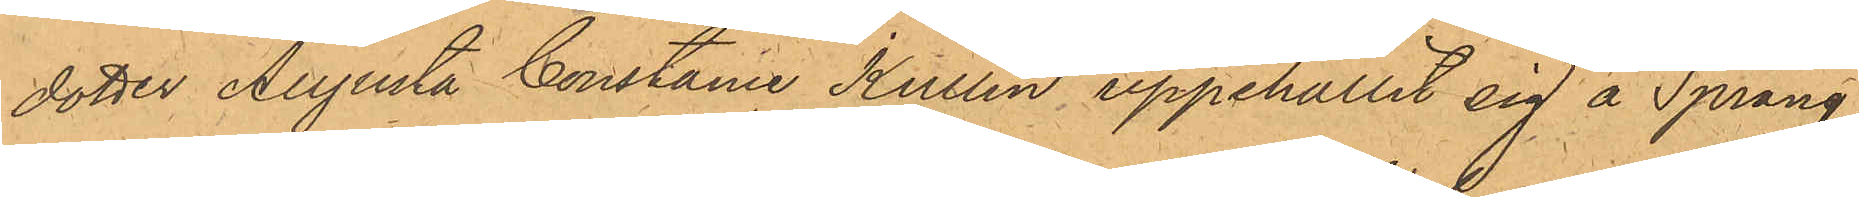dotter Augusta Constace Kullin, uppehållit sig å Spräng¬
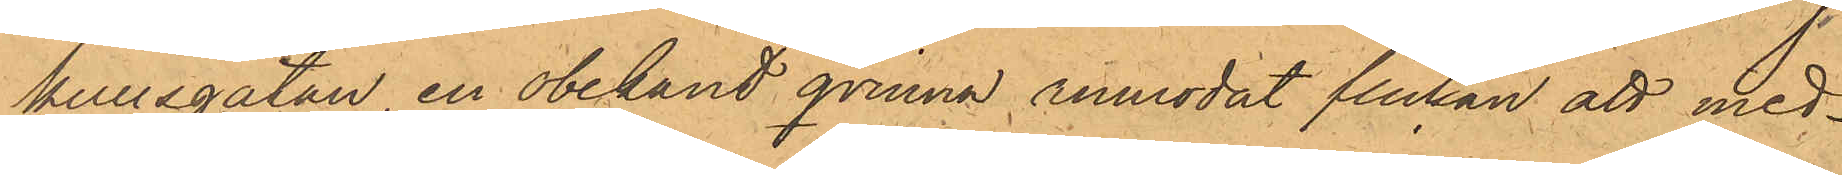kullsgatan en obekant qvinna anmodat flickan att med¬
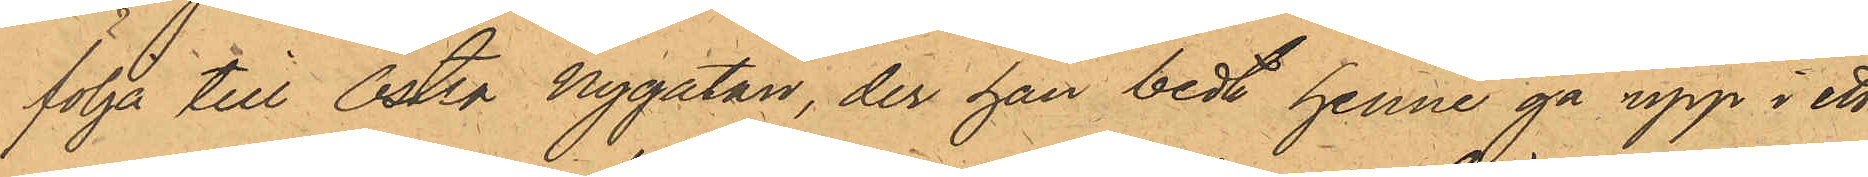följa till Östra Nygatan, der han bedt henne gå upp i ett
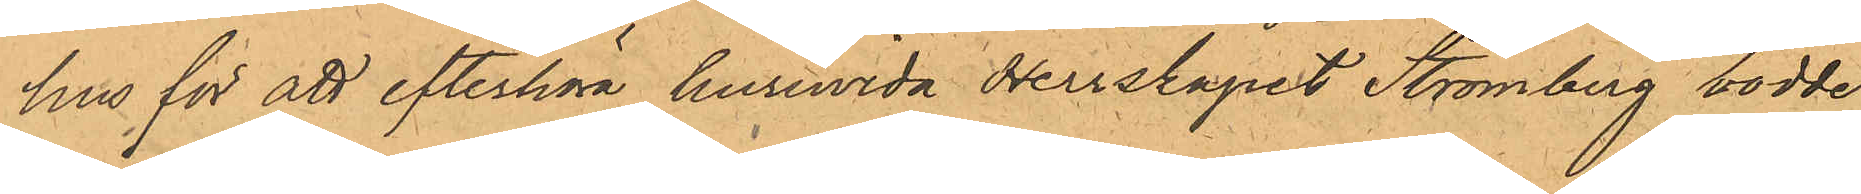hus för att efterhöra huruvida Herrskapet Strömberg bodde
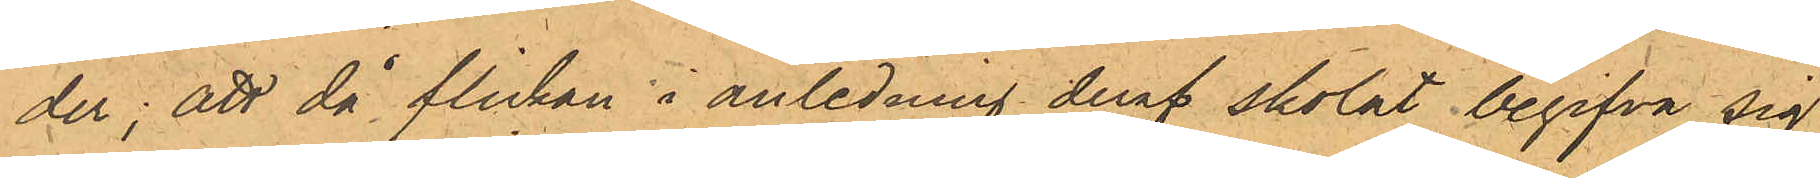der; att då flickan i anledning deraf skolat begifva sig
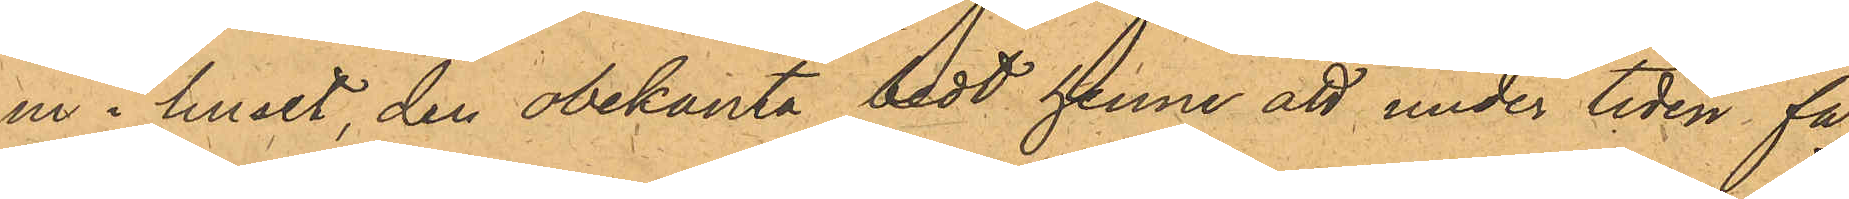in i huset, den obekanta bedt henne att under tiden få
